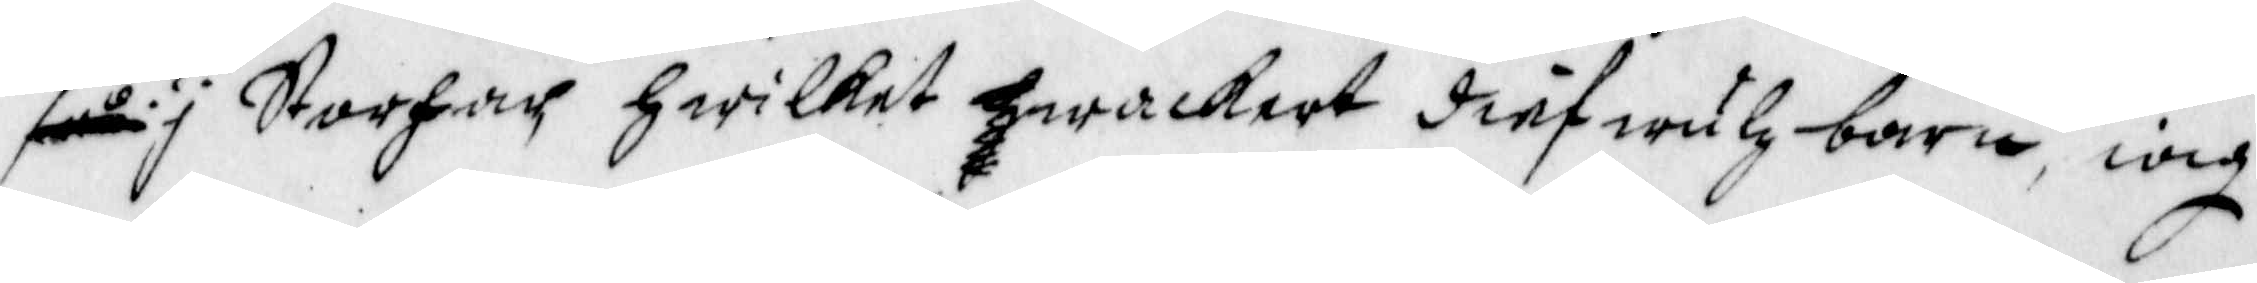som ser i Storfar Hwilket hwackert dief wulz barn, iag
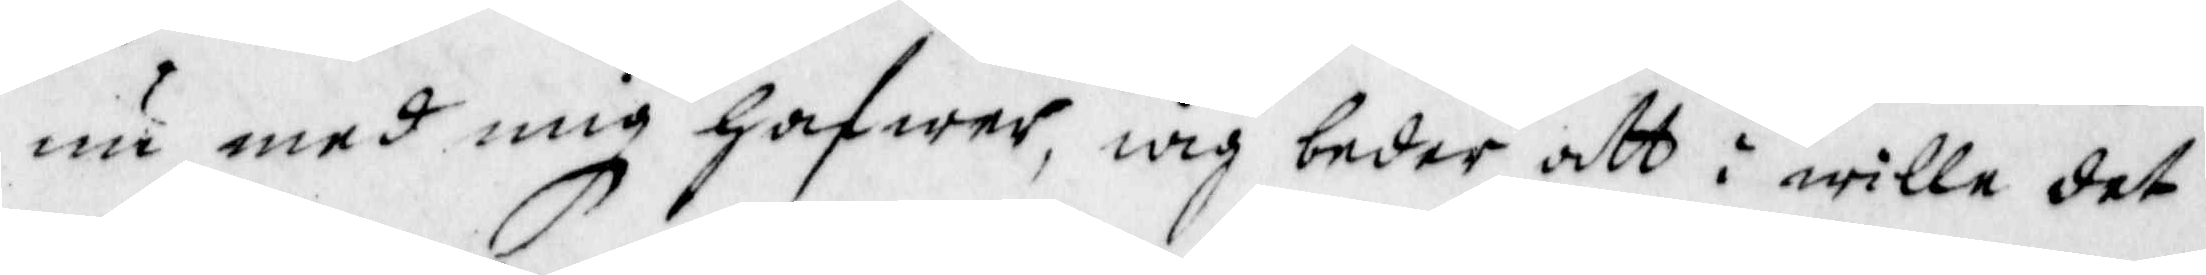nu med mig hafwer, iag beder att i wille det
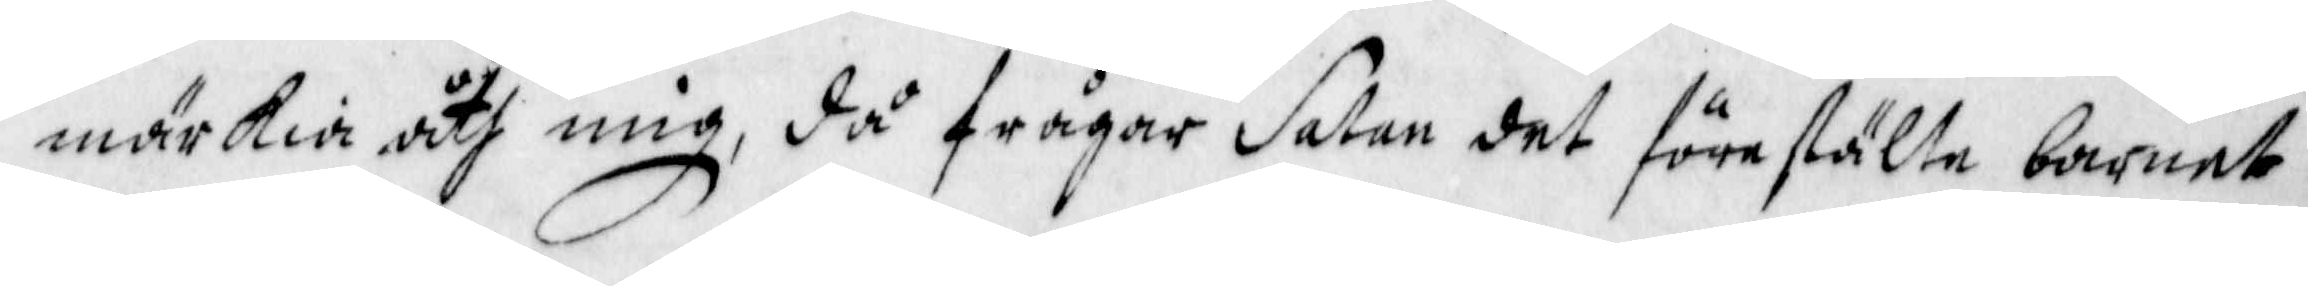märkia åth mig, då frågar Satan det förestälte barnet
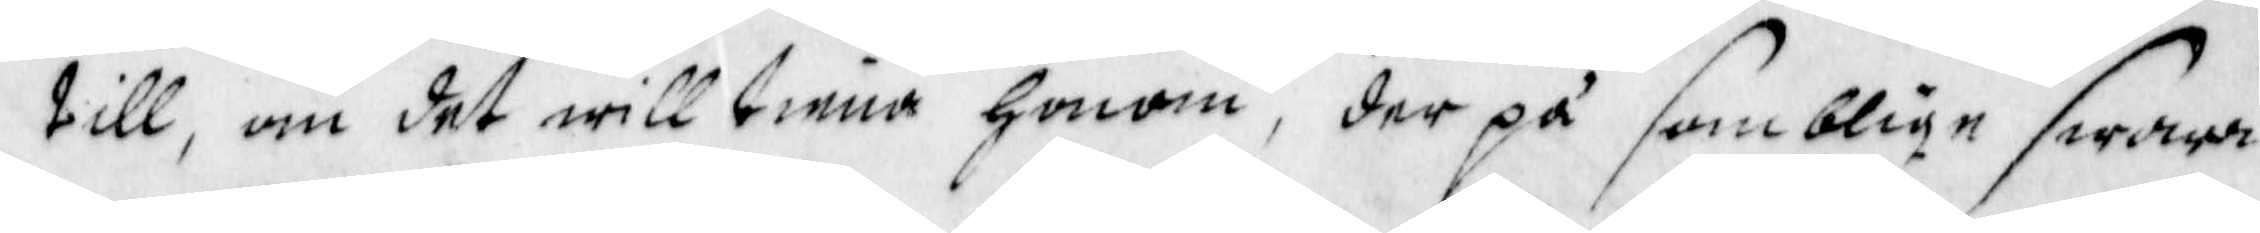till, om det will tiena honom, der på somblige swara
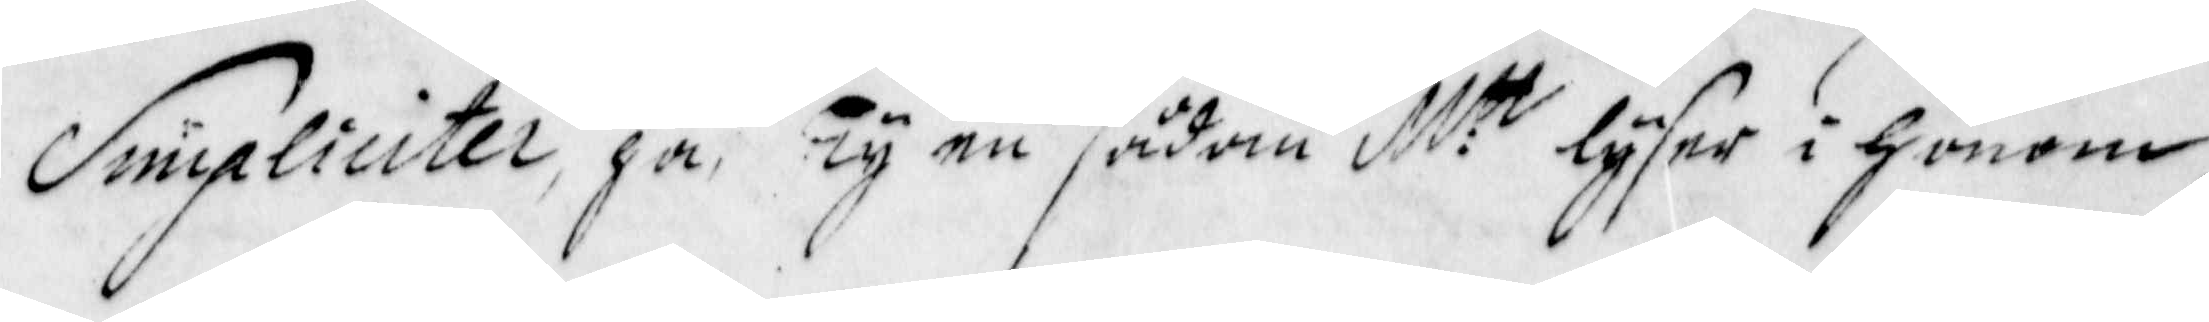Simpliciter, ja, Ty en sådan M:tt lyser i honom,
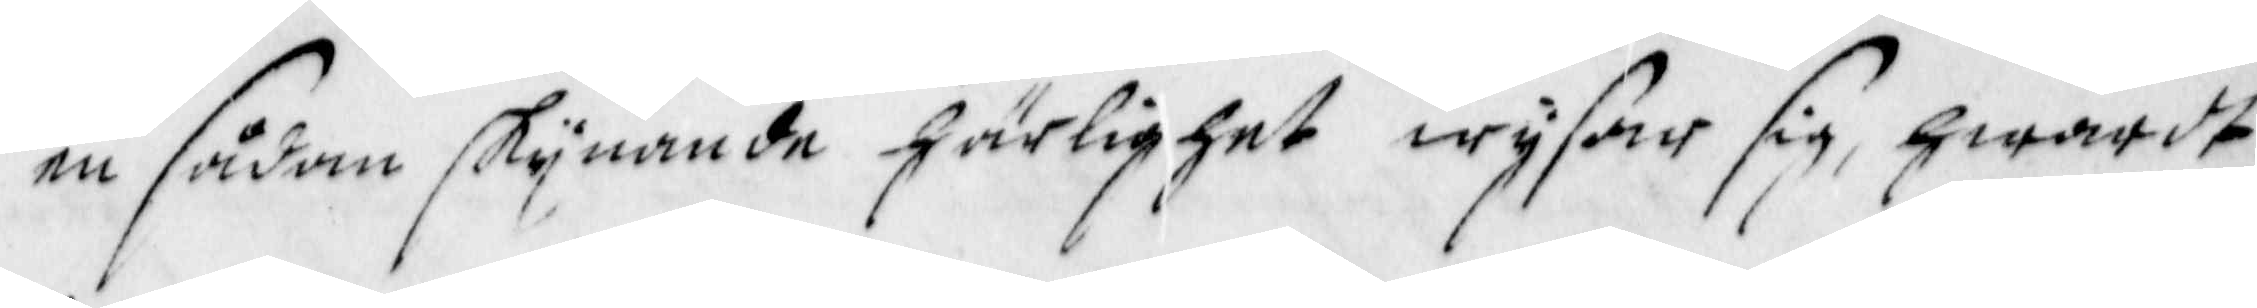en sådan skynande härlighet wysar sig, hwardt
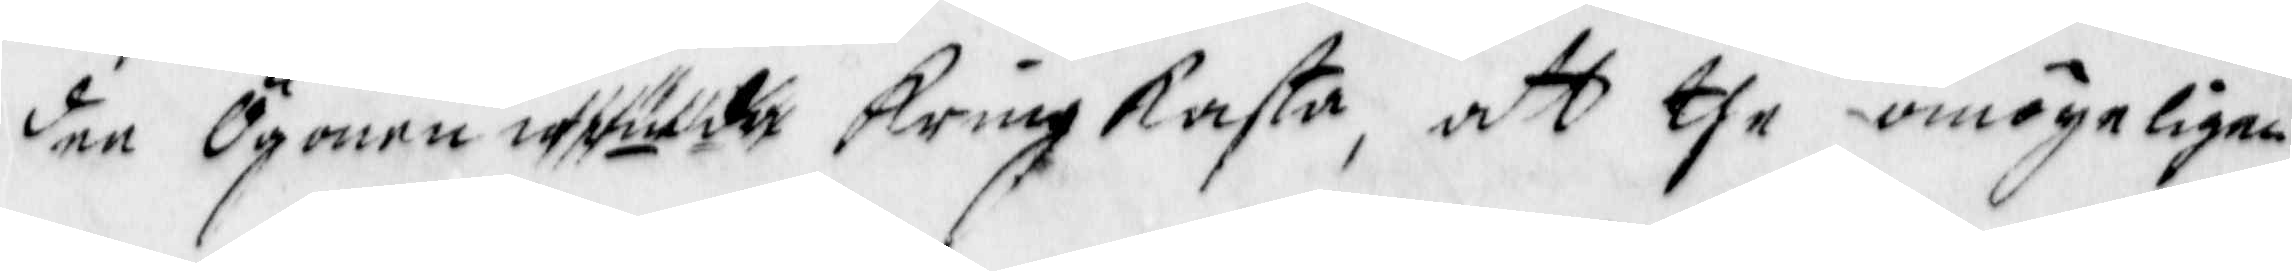den Ögonen utälde Kringkasta, att the omögeligen
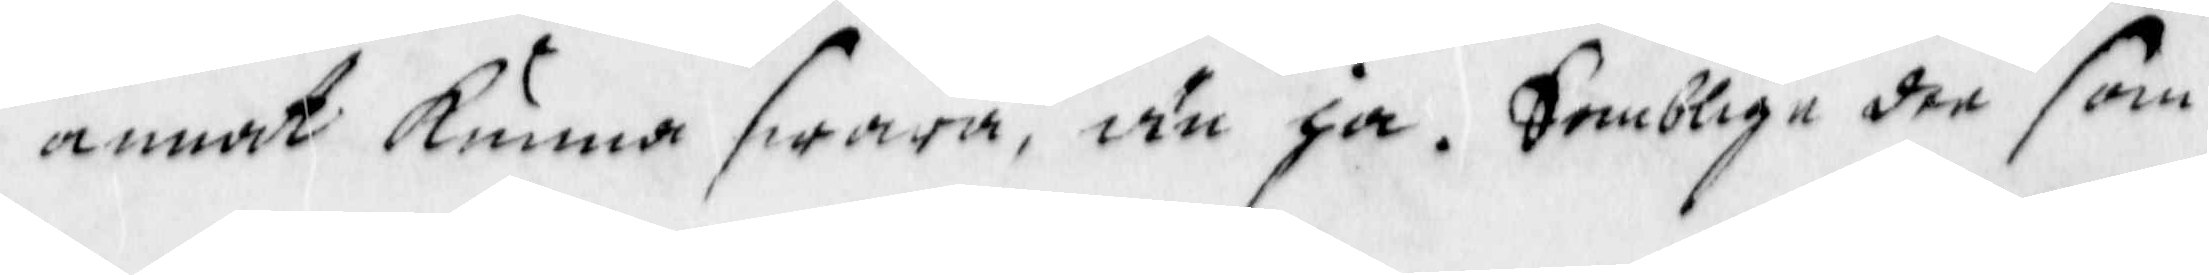annat kunna swara, än ja. Somblige der som
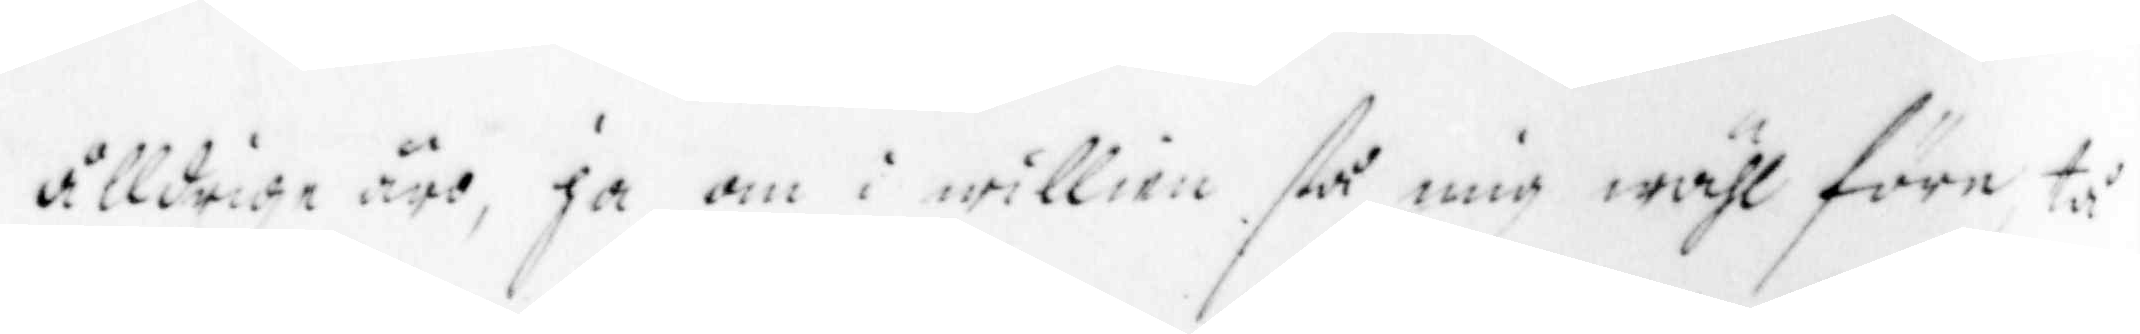ålldrige äro, ja om i willien så mig wähl före tå
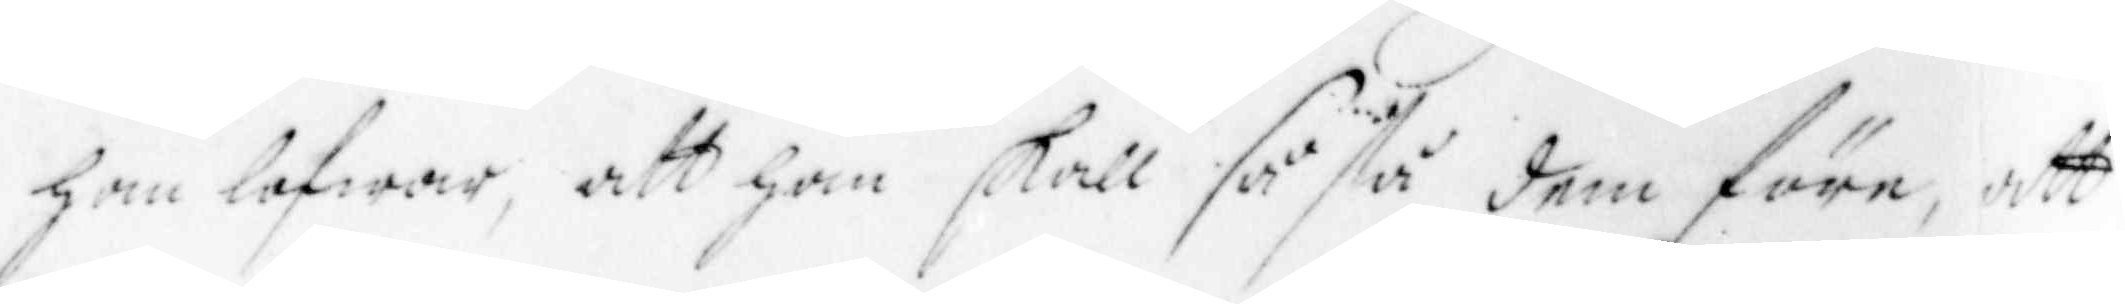han lofwar, att han skall så stå dem före, att
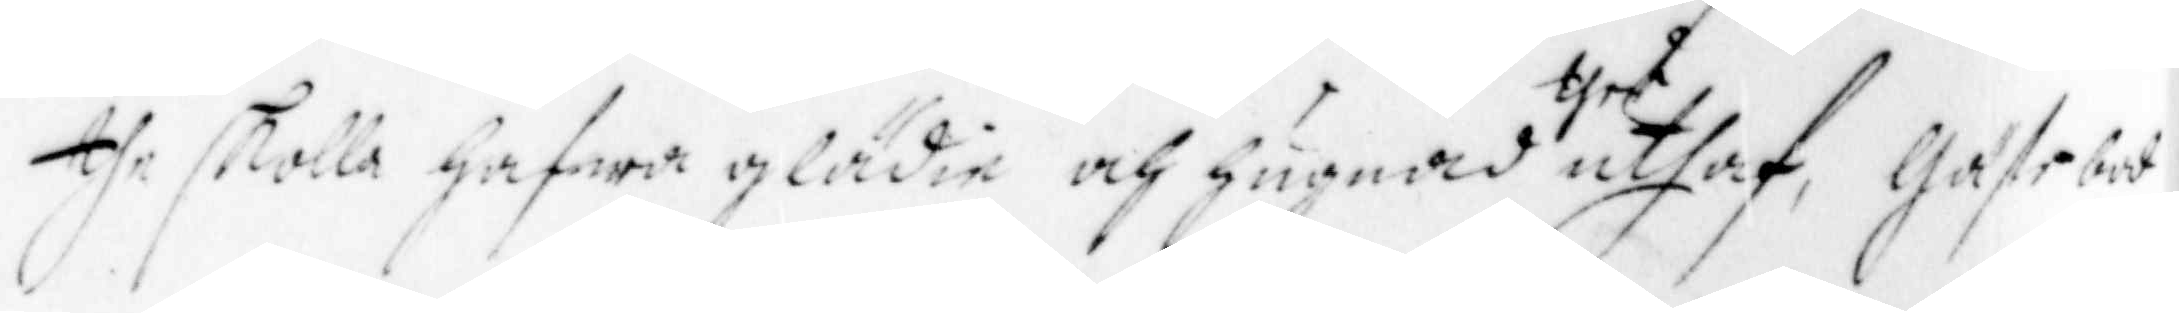the skolla hafwa glädie och hugnad ther uthaf, Gästebod
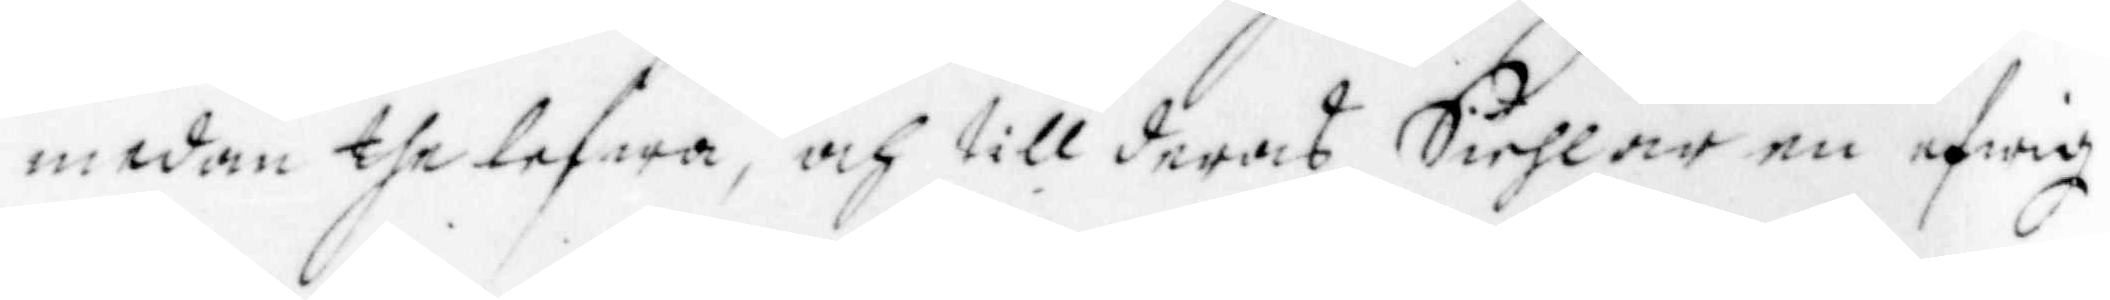medan the lefwa, och till deras Siehlar en efwig
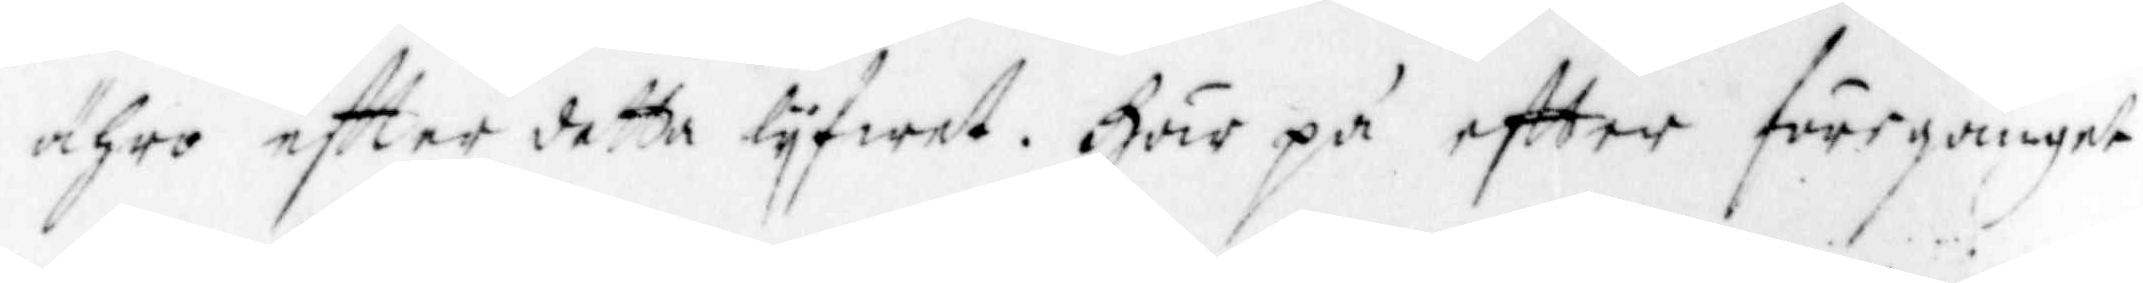ähro effter detta lyfwet. Här på effter föregånget
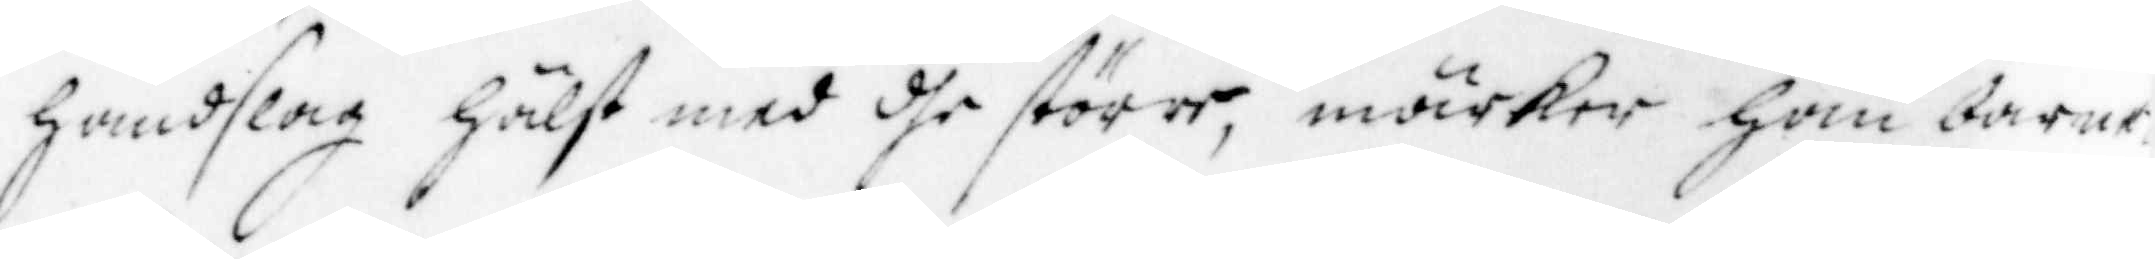handslag hälst med dhe större, märker han barne
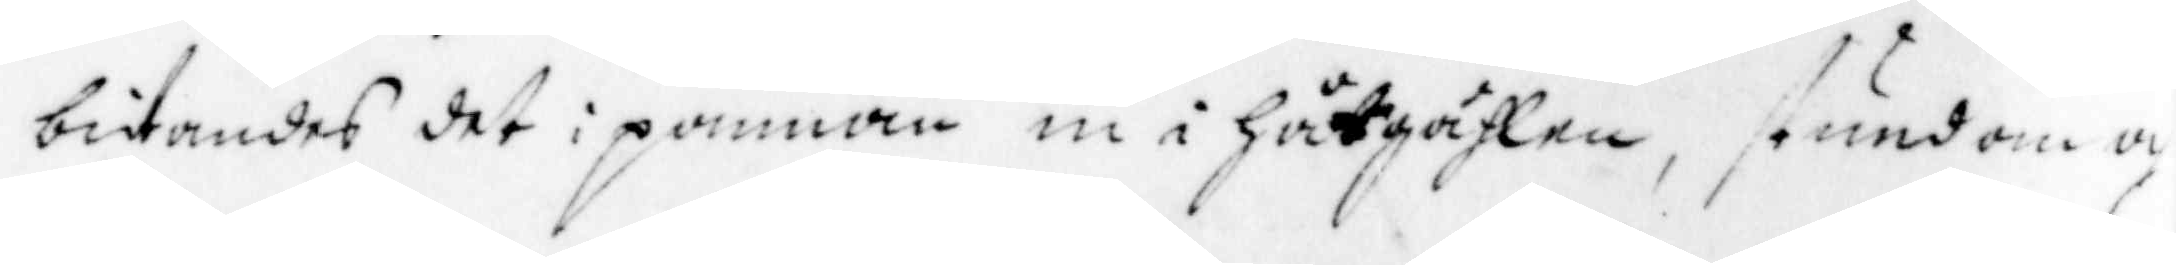bitandes det i pannan in i hätgählen, stundom och
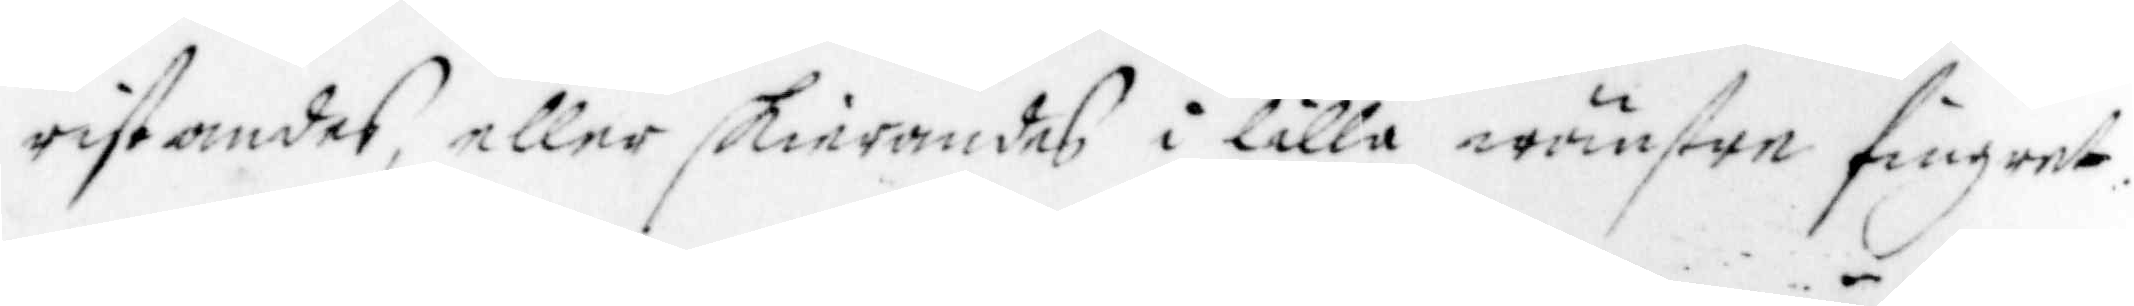ristandes, eller skierandes i lilla wänstre fingret,
